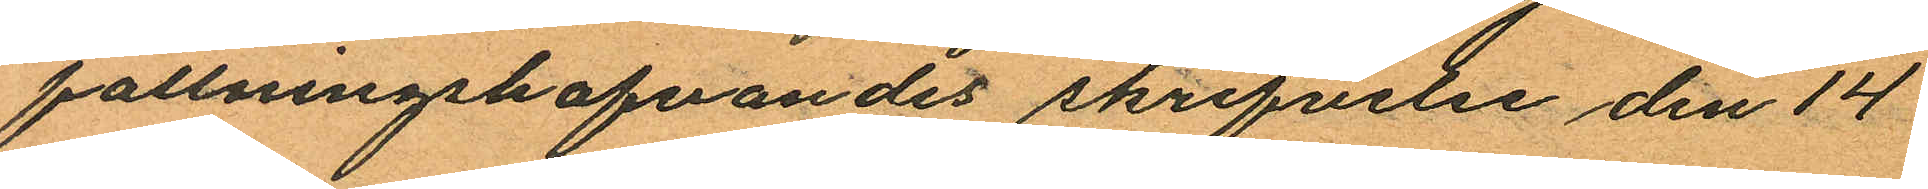fallningshafvandes skrifvelse den 14
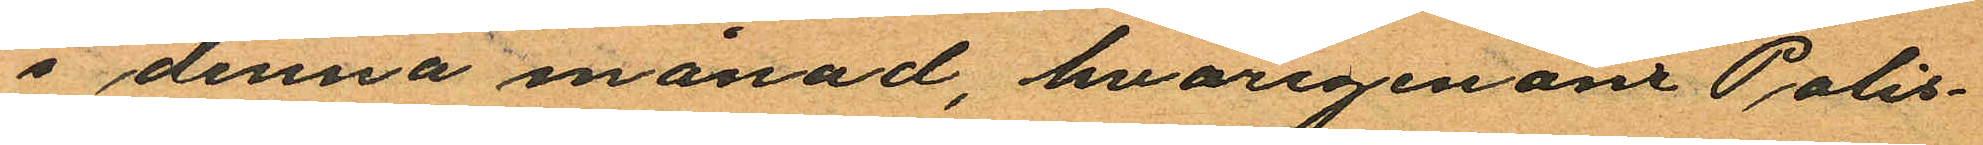i denna månad, hvarigenom Polis¬
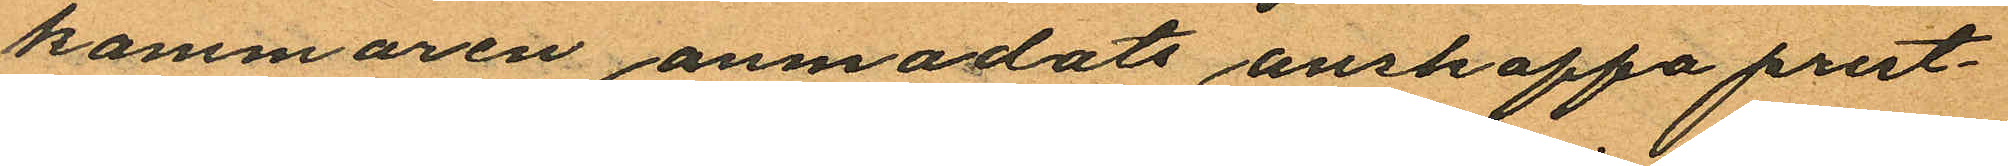kammaren anmodats anskaffa prest¬
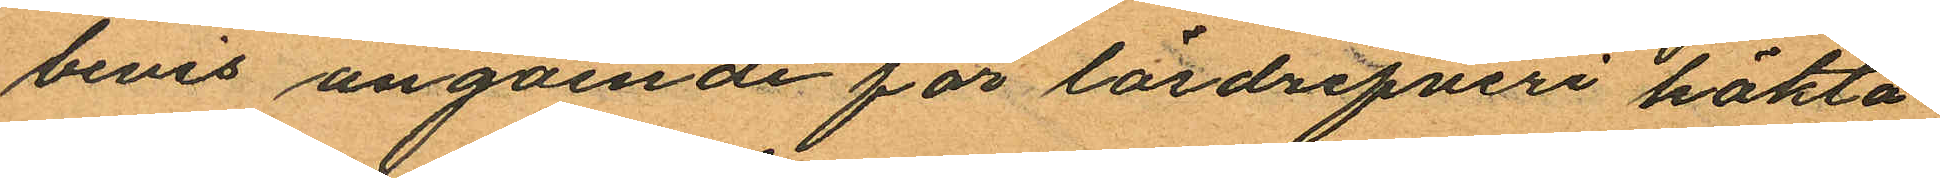bevis angående för lösdrifveri häkta¬
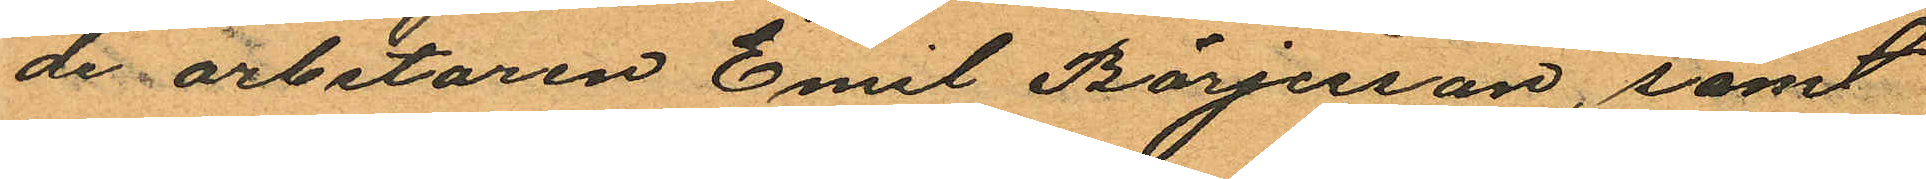de arbetaren Emil Börjesson, samt
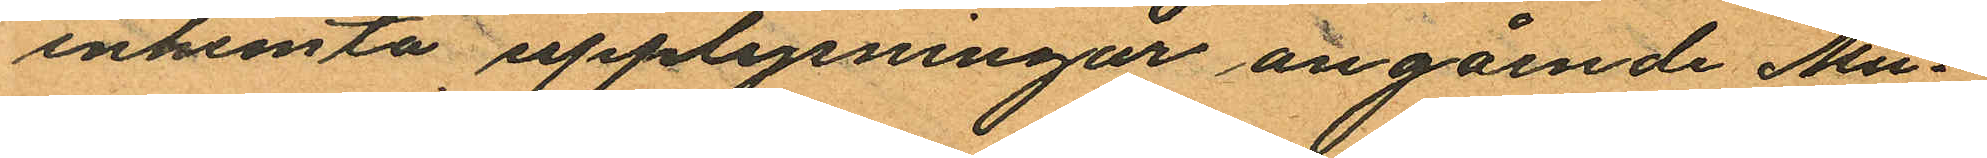inhemta upplysningar angående Mu¬
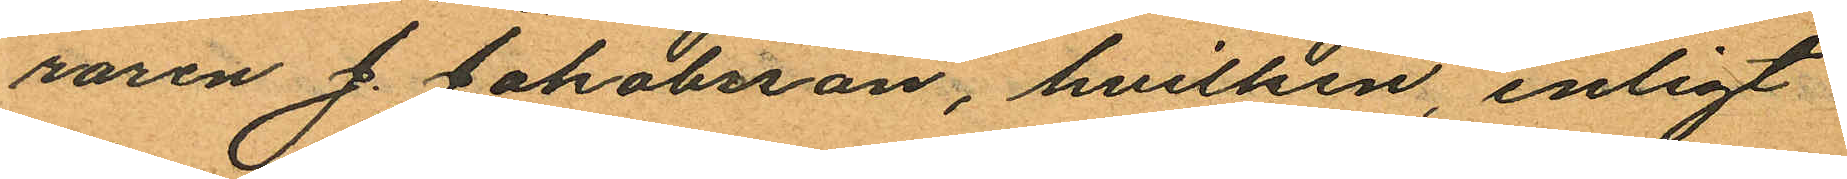raren J. Jakobsson, hvilken, enligt
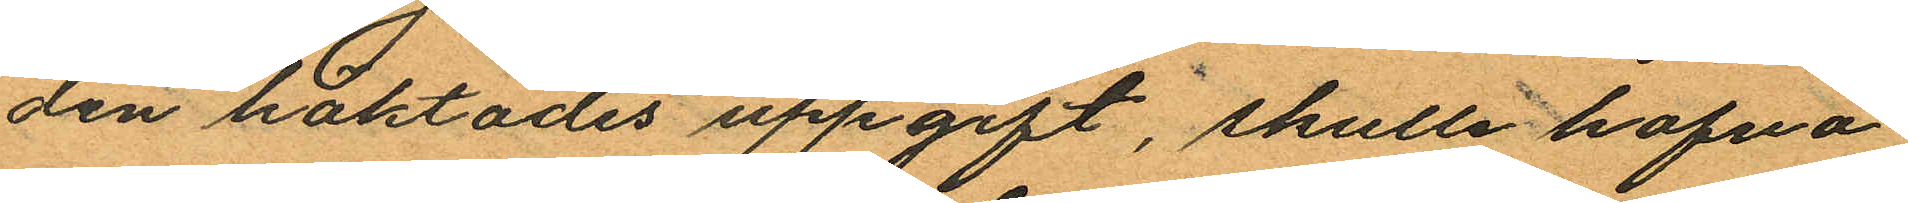den häktades uppgift, skulle hafva
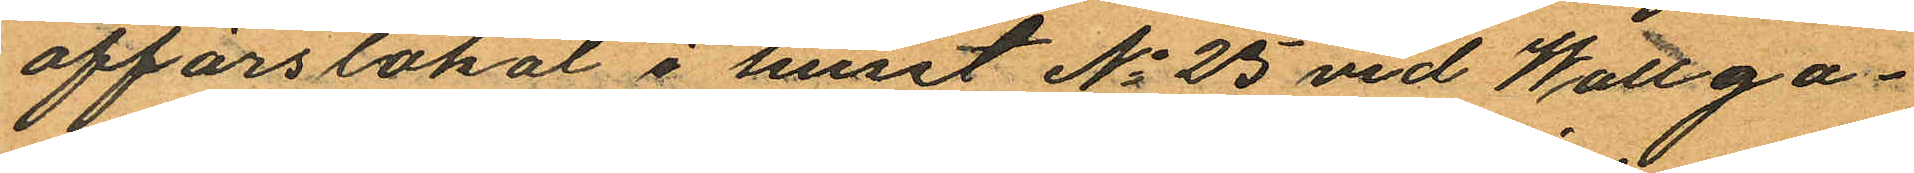affärslokal i huset No 25 vid Wallga¬
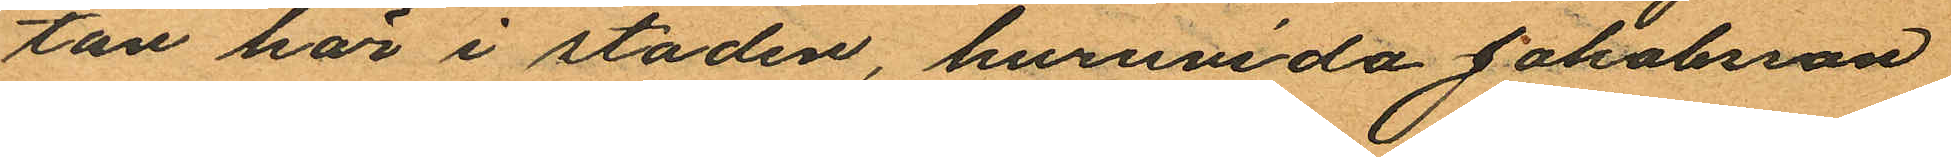tan här i staden, huruvida Jakobsson
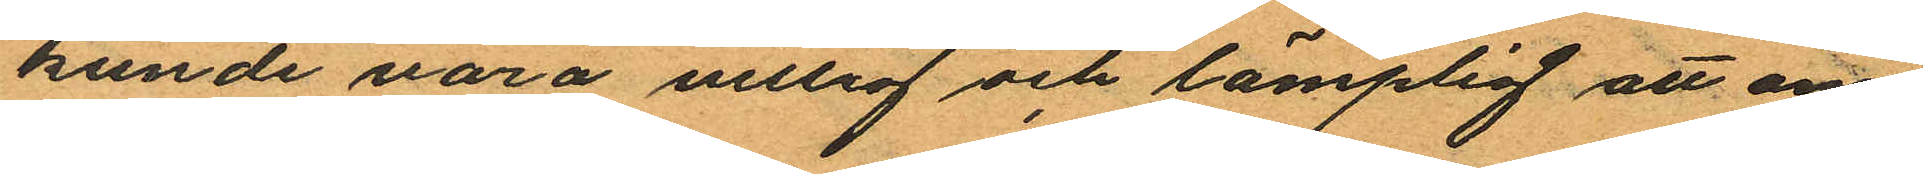kunde vara villig och lämplig att om
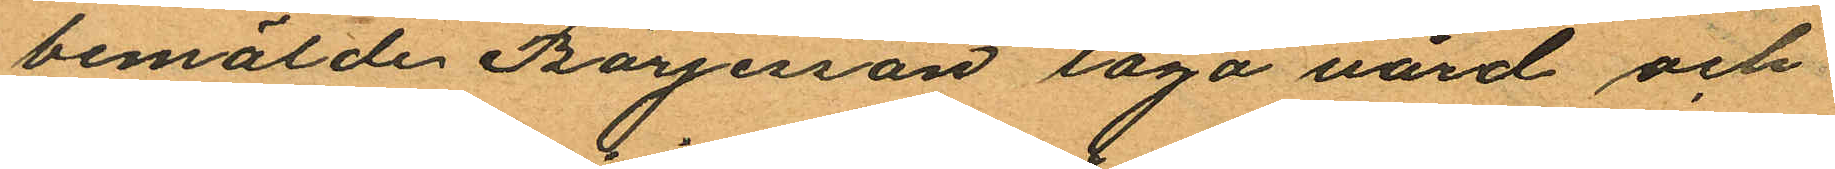bemälde Börjesson taga vård och
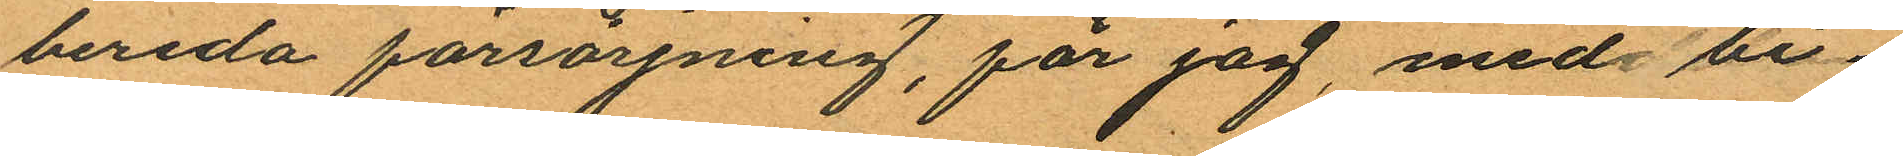bereda försörjning, får jag, med bi¬
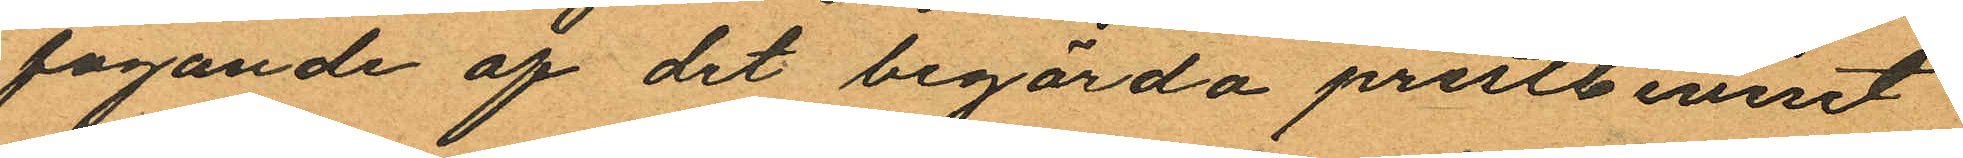fogande af det begärda prestbeviset
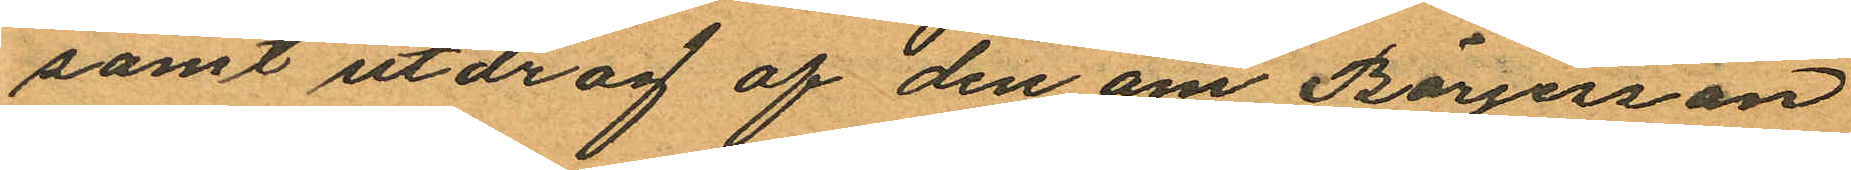samt utdrag af den om Börjesson
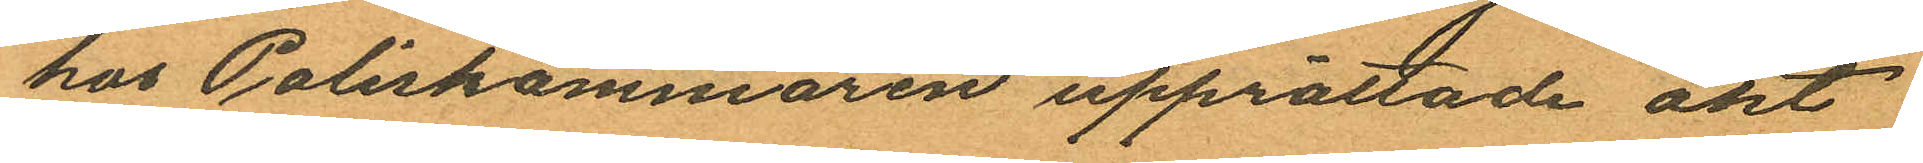hos Poliskammaren upprättade akt
